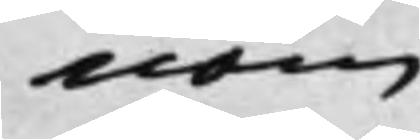nom
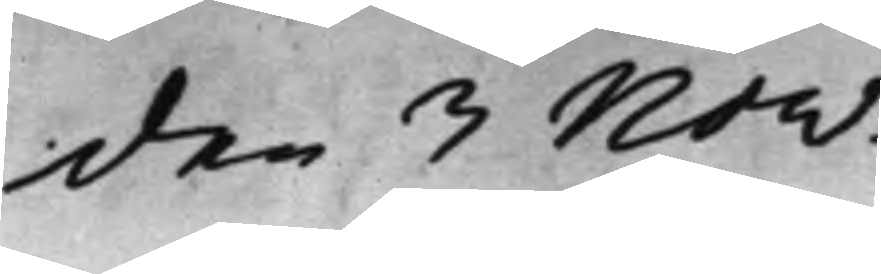den 3 Nov:
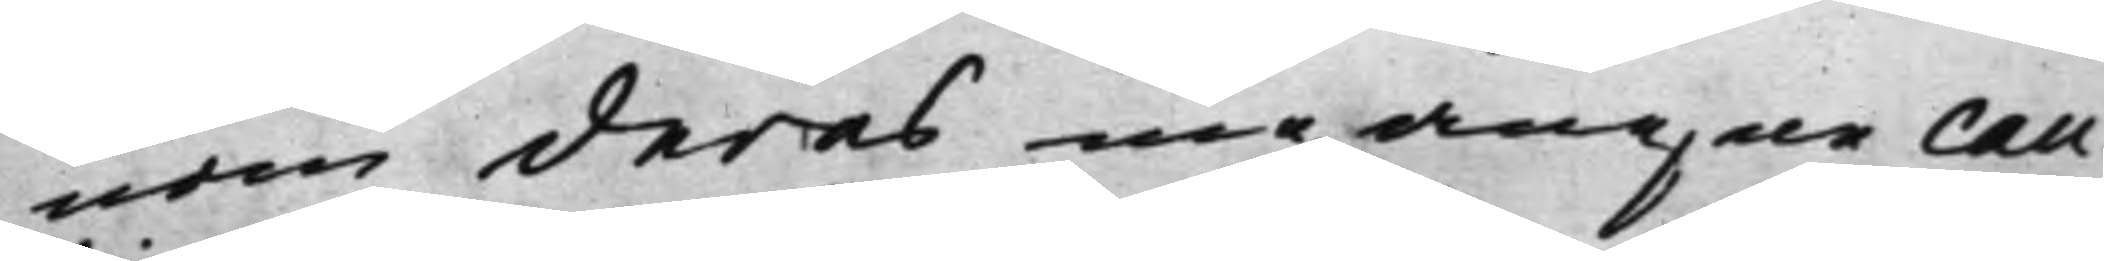nom deras ingångne cau¬
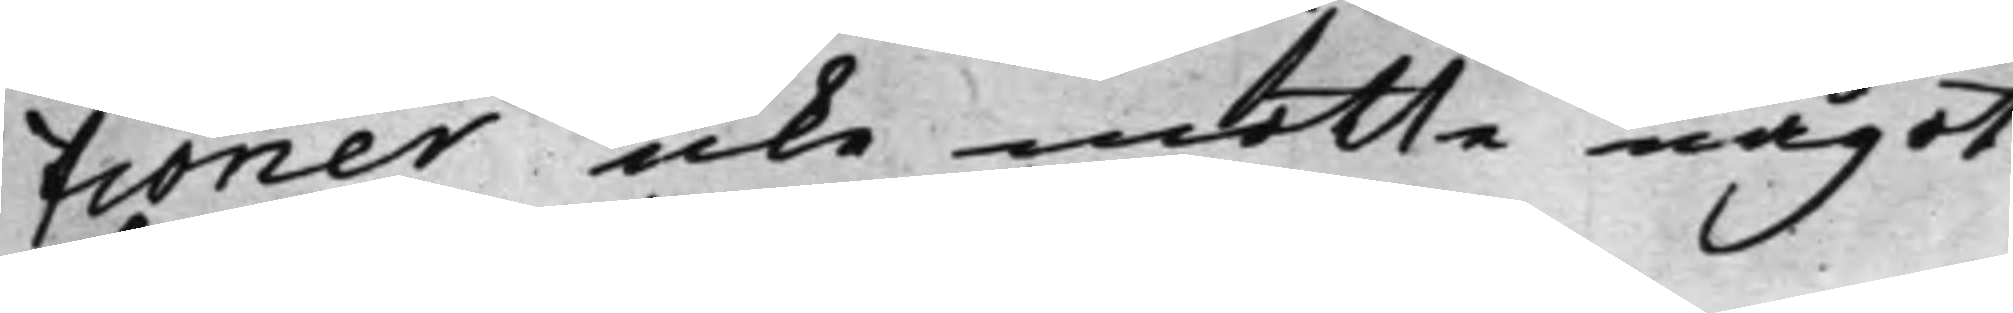tioner icke måtte något
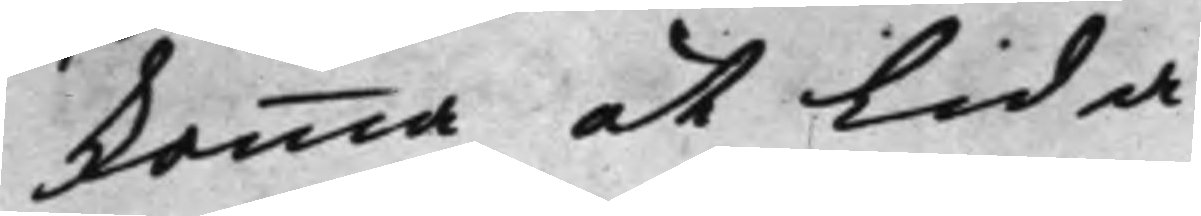komma at lida
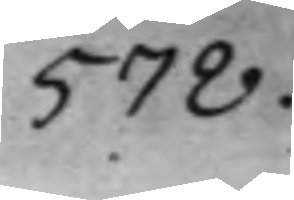578.
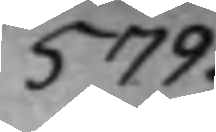579.
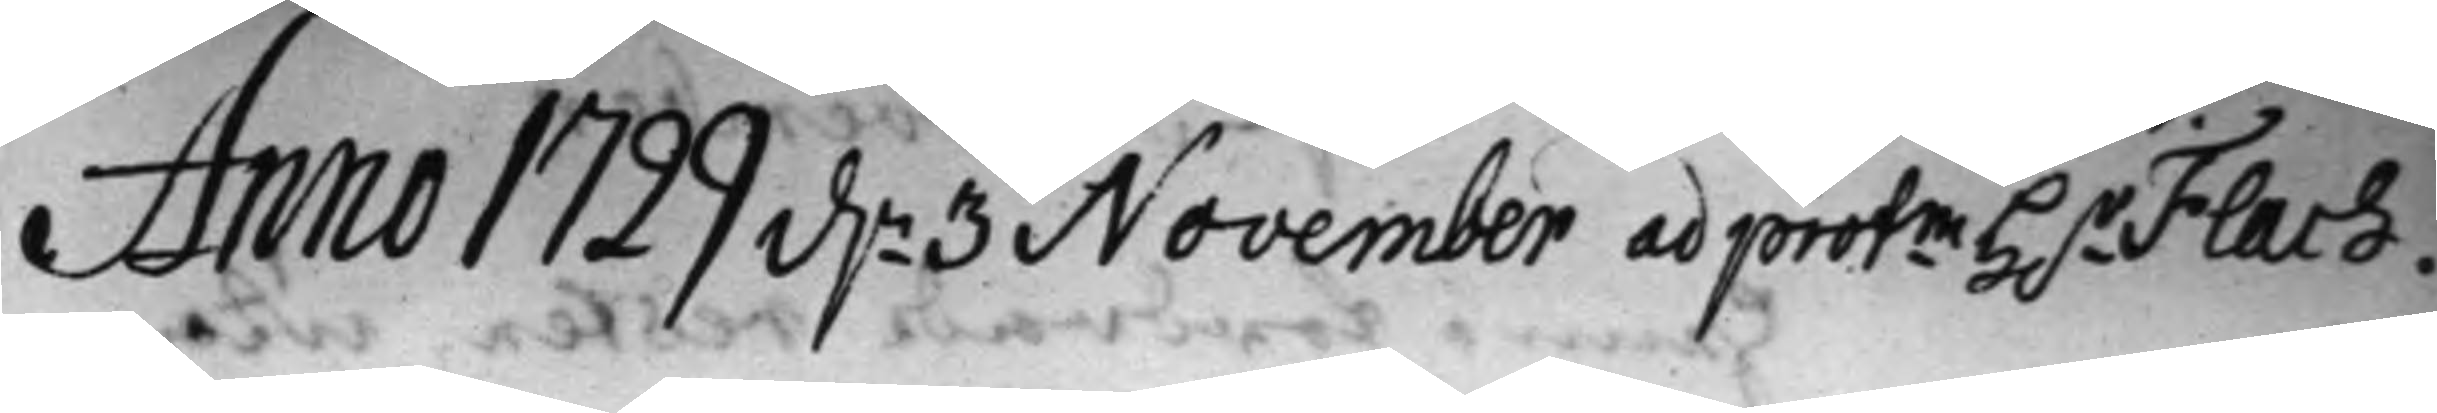Anno 1729 d.n 3 November ad protm H.r Flach.
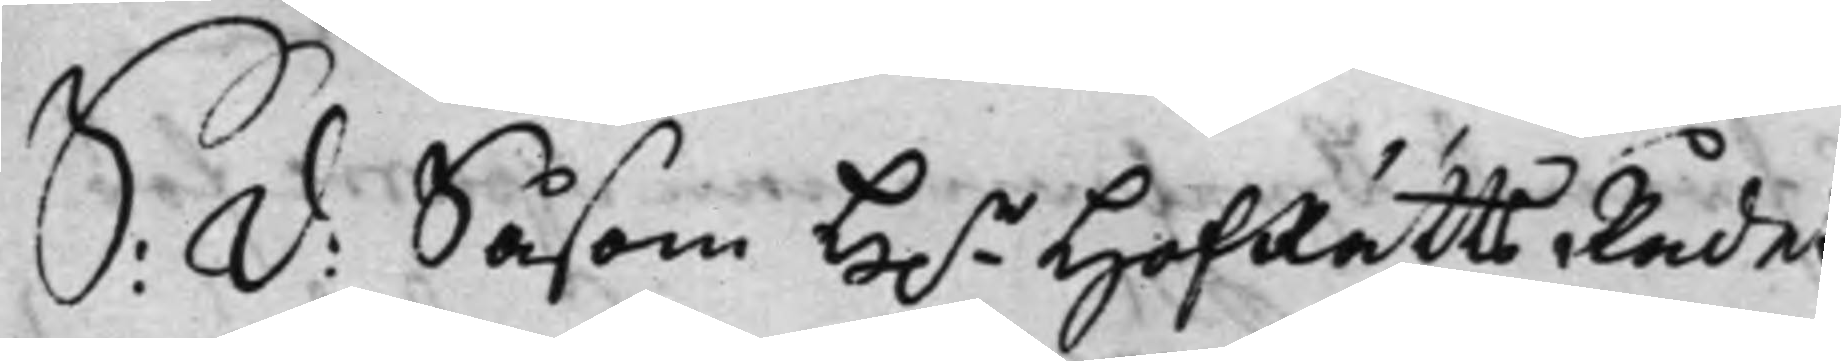S: D: Såsom H.r HofRättsRådet
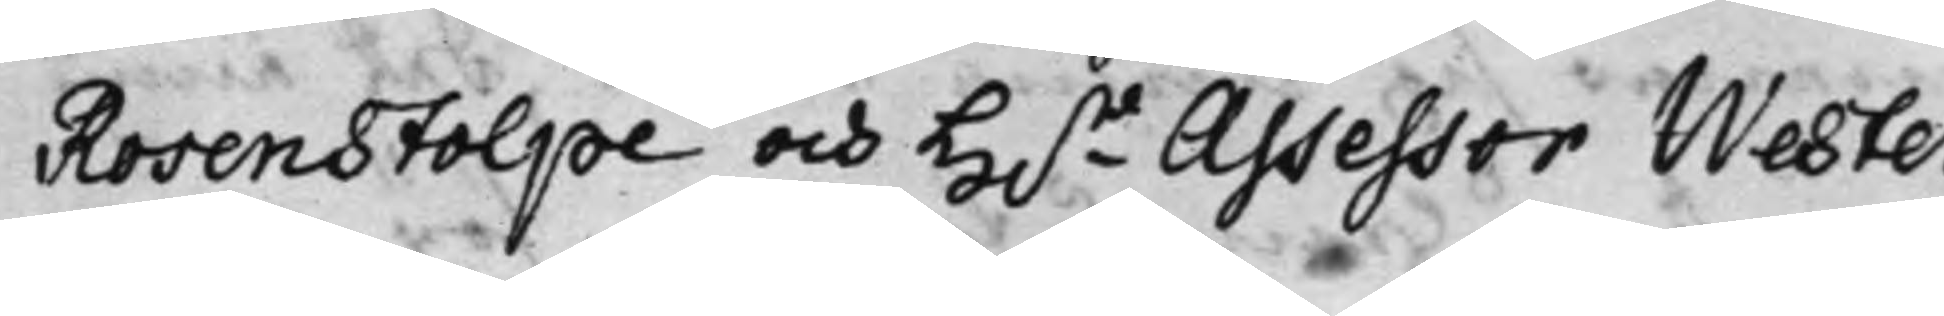Rosenstolpe och H.r Assessor Wester
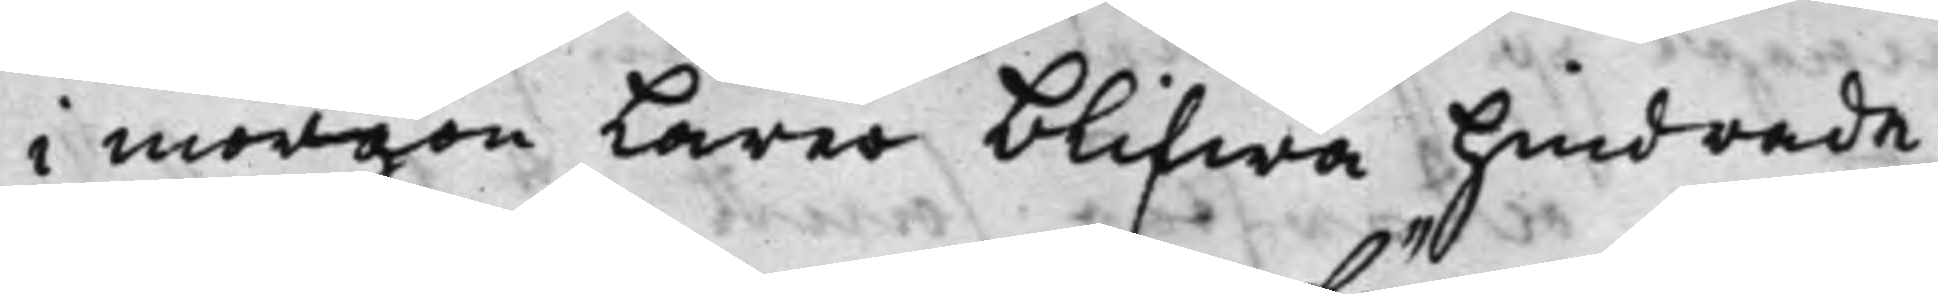i morgon Lärer blifwa hindrade,
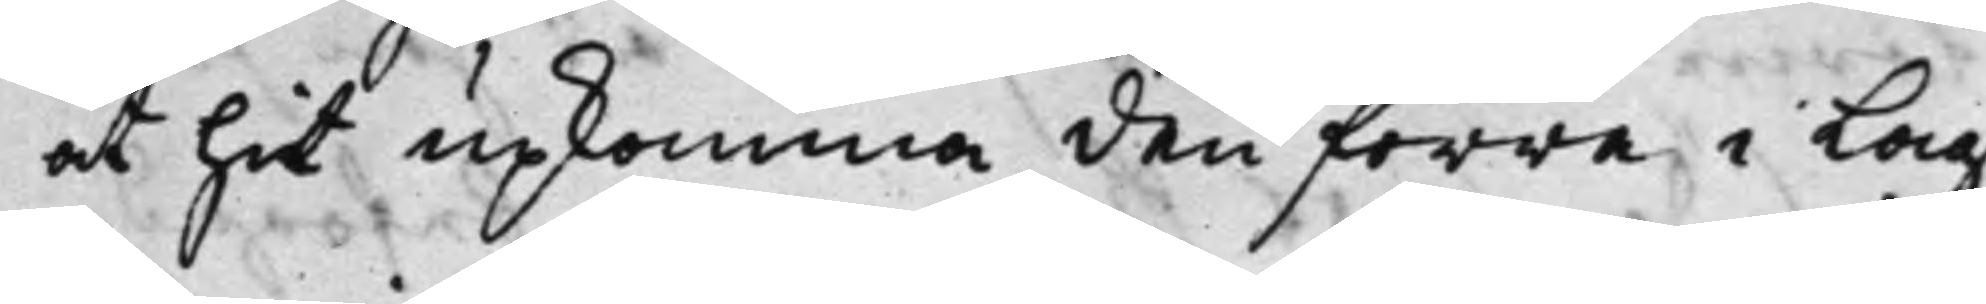at hit upkomma den förra i Lag¬
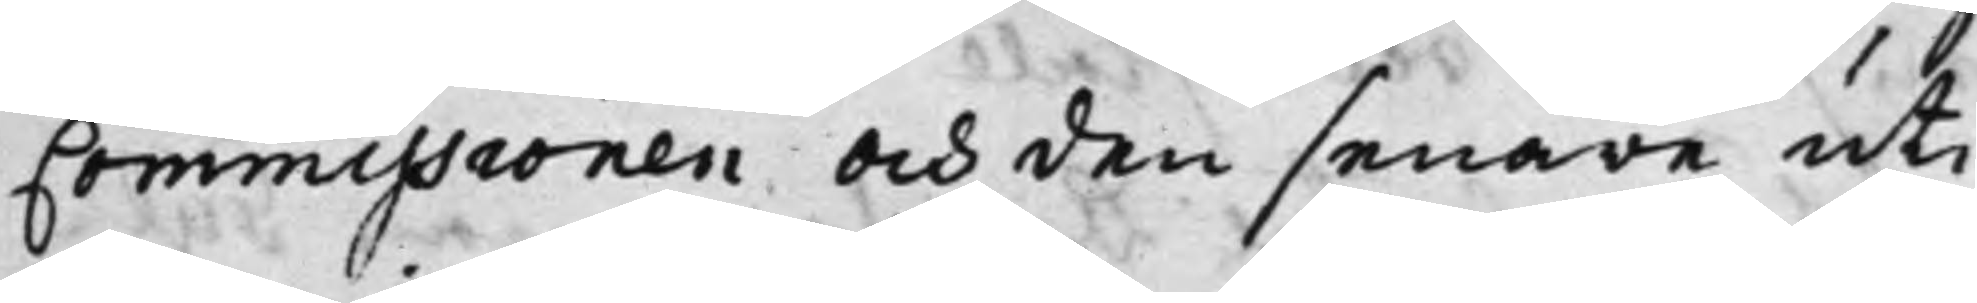Commissionen och den senare uti
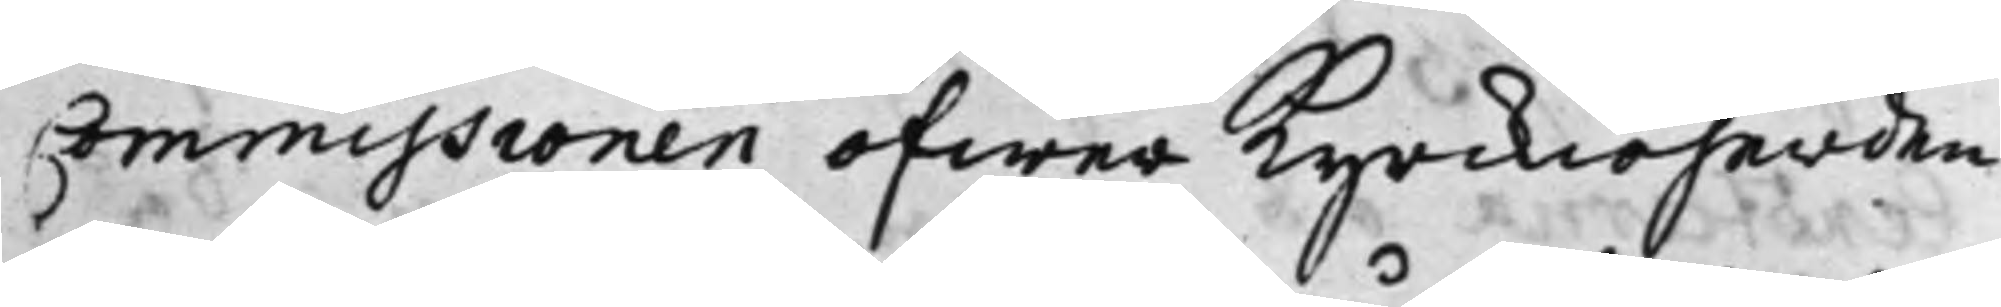Commissionen öfwer Kyrkioherden
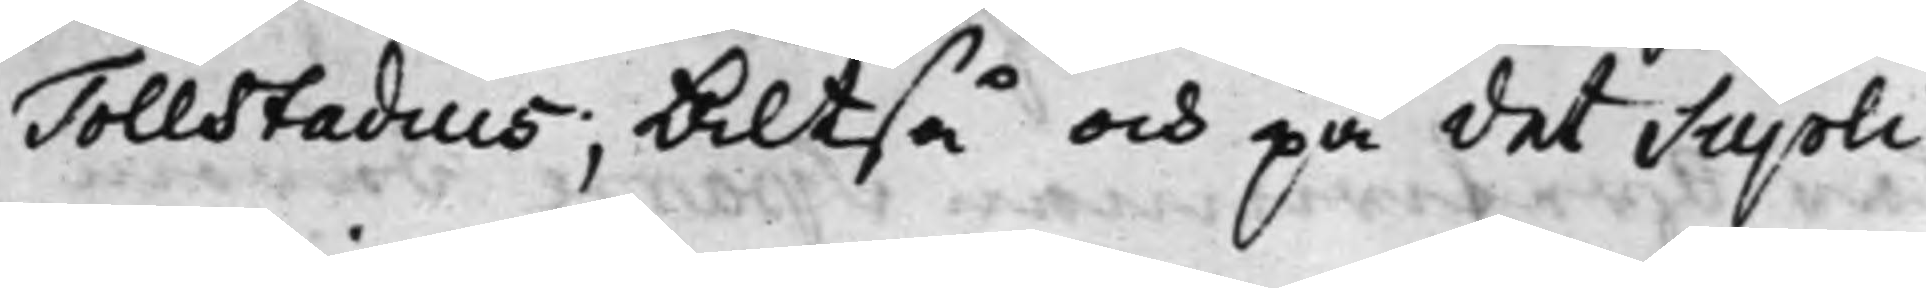Tollstadius; Altså och på det Suppli¬
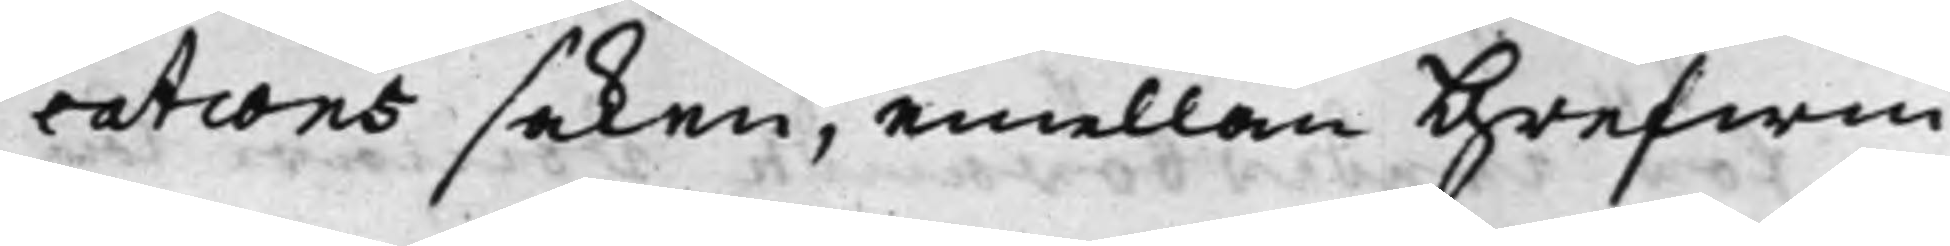cations saken, emellan Grefwin¬
